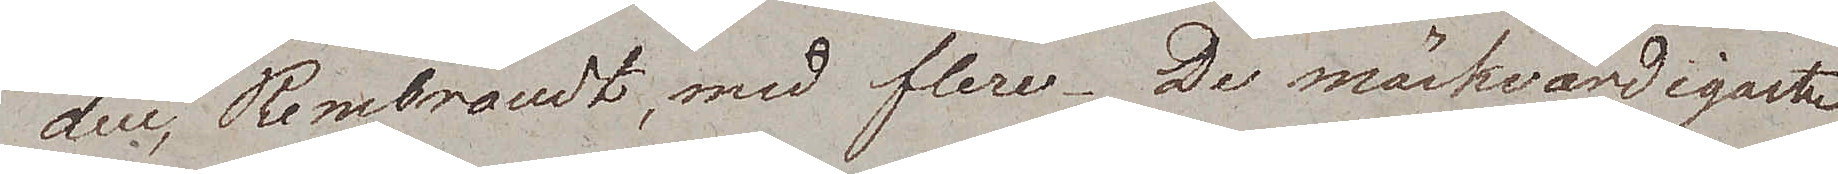duc, Rembrandt, med flere. De märkvärdigaste
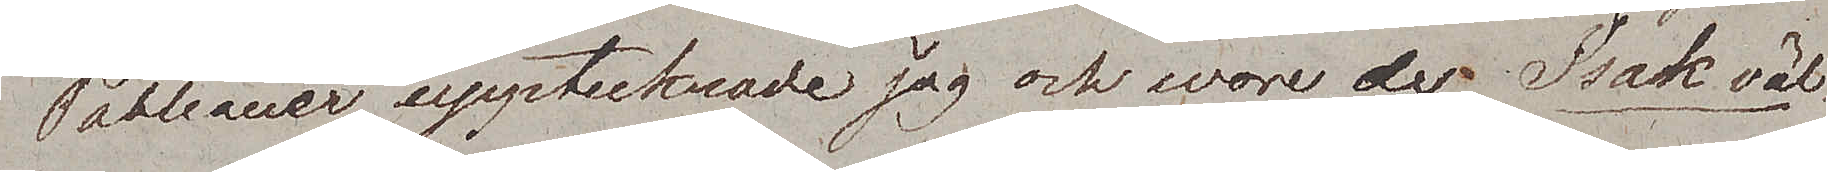Tableauer upptecknade jag och wore der Isak väl¬
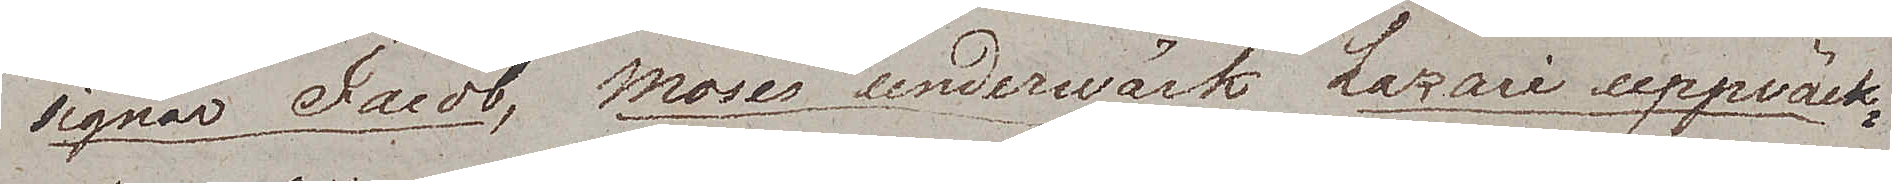signar Jacob, Moses underwärk, Lazari uppwäck¬
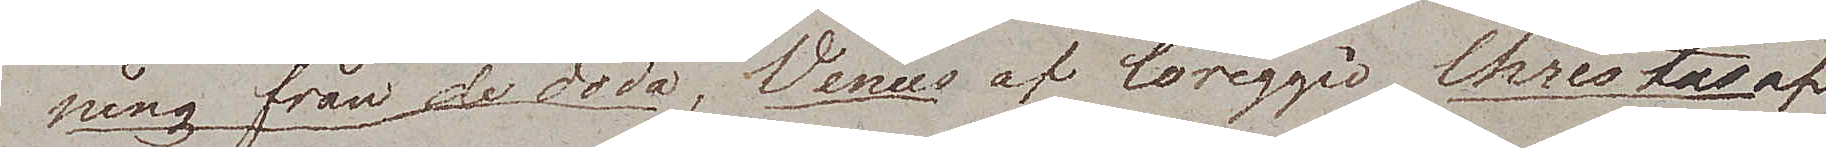ning från de döda, Venus af Coreggio, Christus af
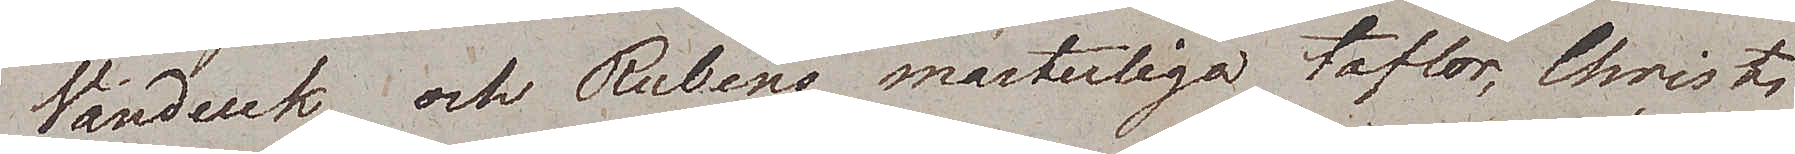Vanduk, och Rubens mästerliga taflor, Christi
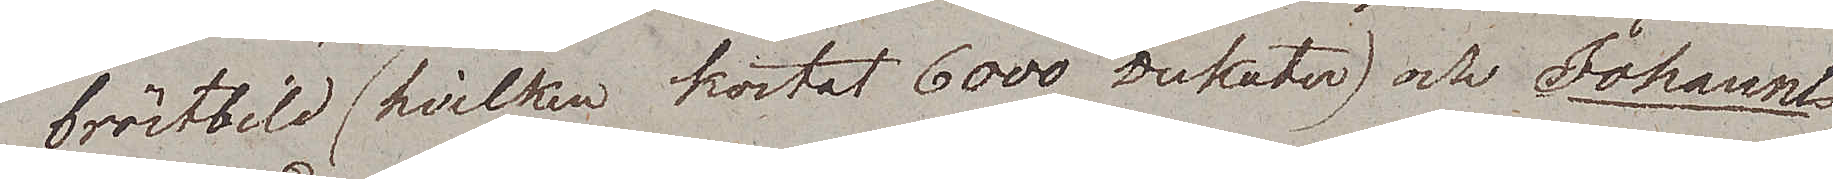bröstbild, (hvilken kostat 6000 dukater) och Johannes
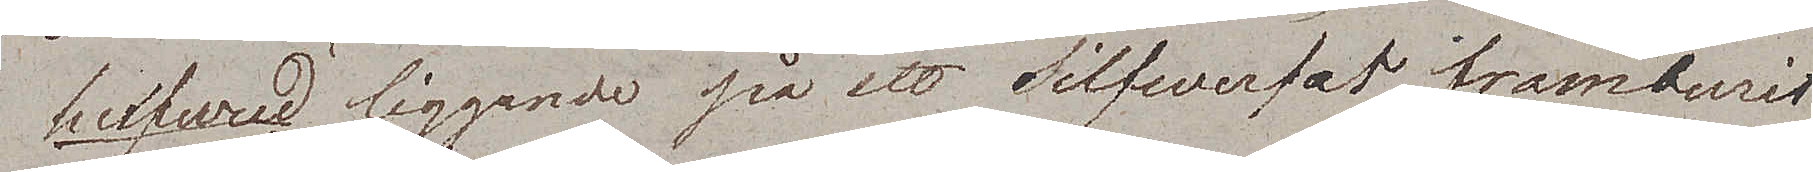hufvud liggande på ett Silfwerfat framburit
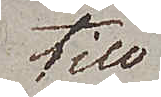till
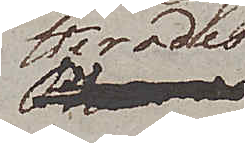Herodes
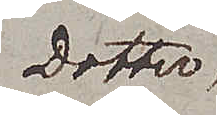Dotter.
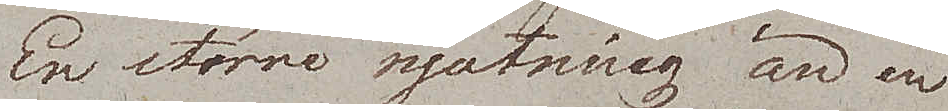En större njutning än en
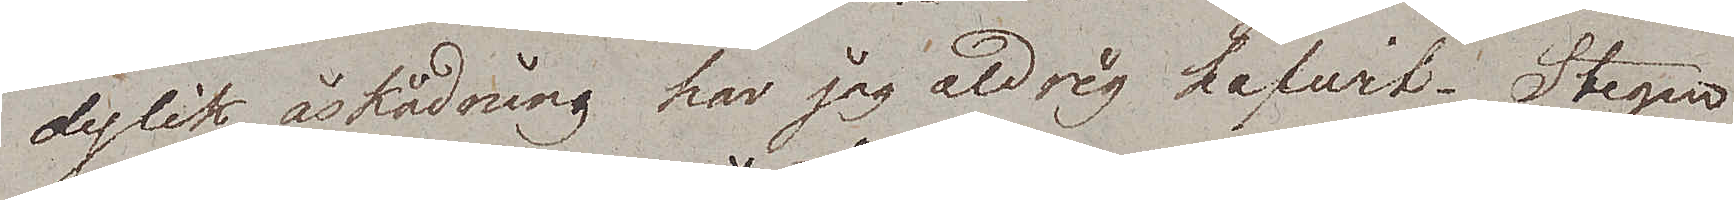dylik åskådning har jag aldrig hafwit. Stegen
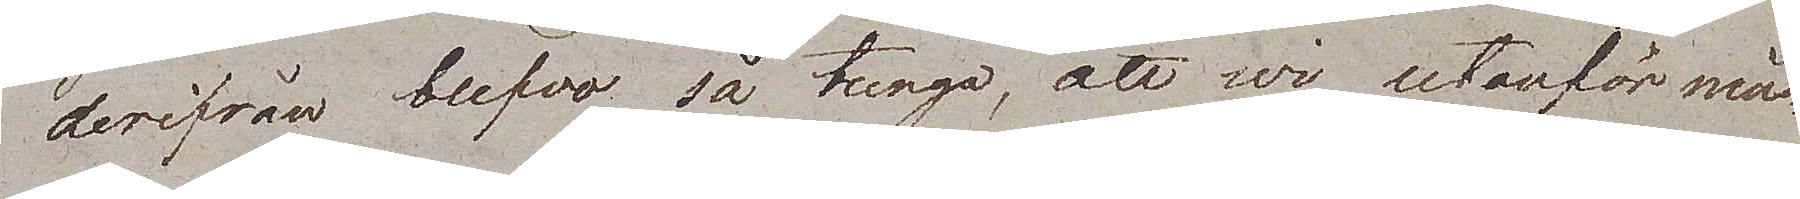derifrån blefvo så tunga, att wi utanför mås¬
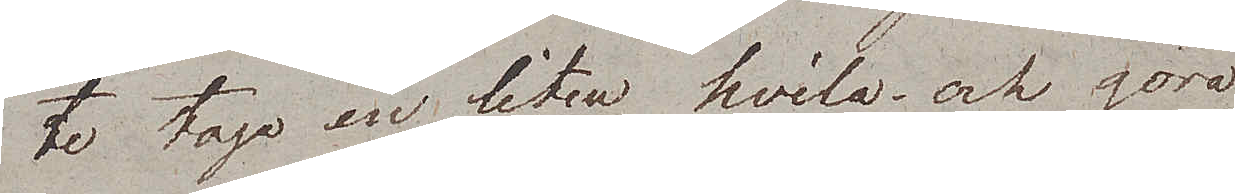te taga en liten hvila och göra
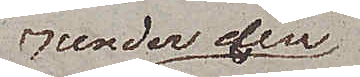runder den
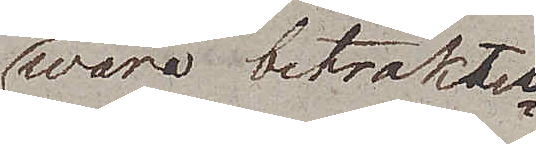wåra betraktel¬
